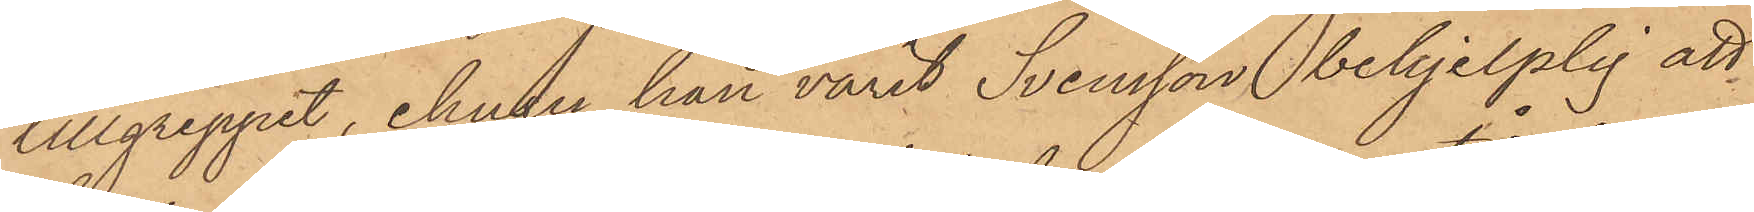tillgreppet, ehuru han varit Svensson behjelplig att
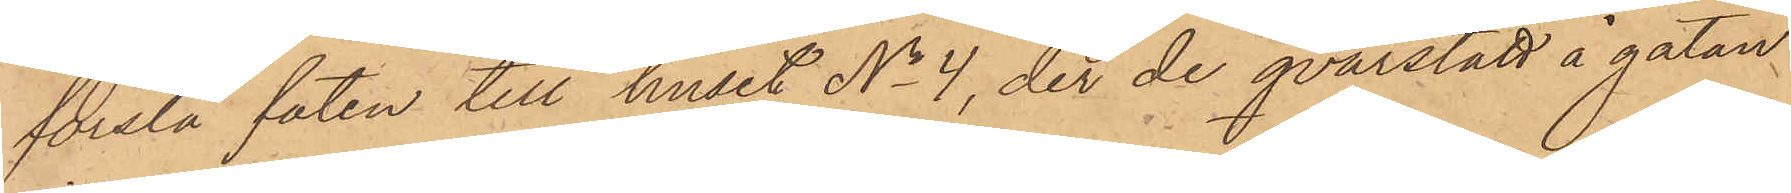forsla faten till huset No 4, der de qvarstått å gatan
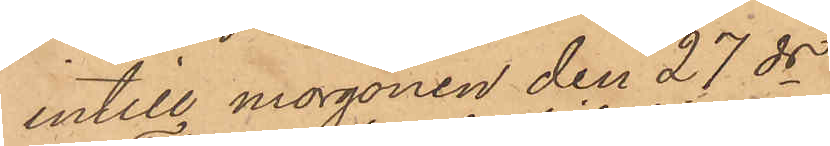intill morgonen den 27 ds.
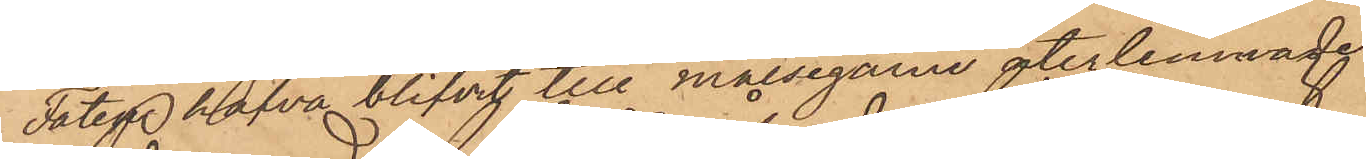Faten hafva blifvit till målsegarne återlemnade.
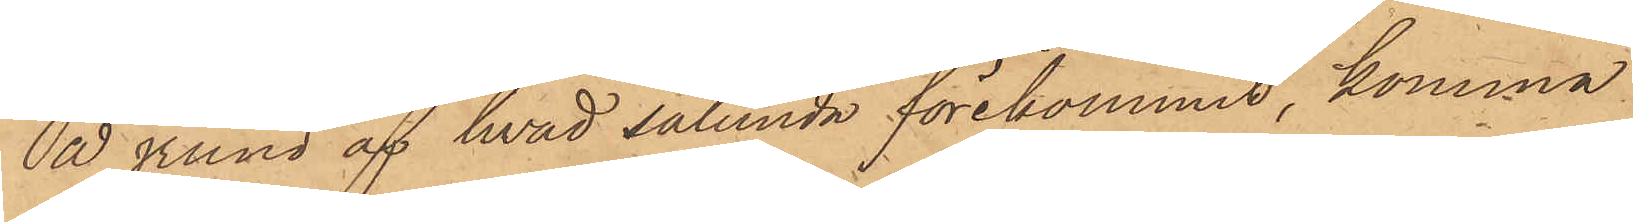På grund af hvad sålunda förekommit, komma
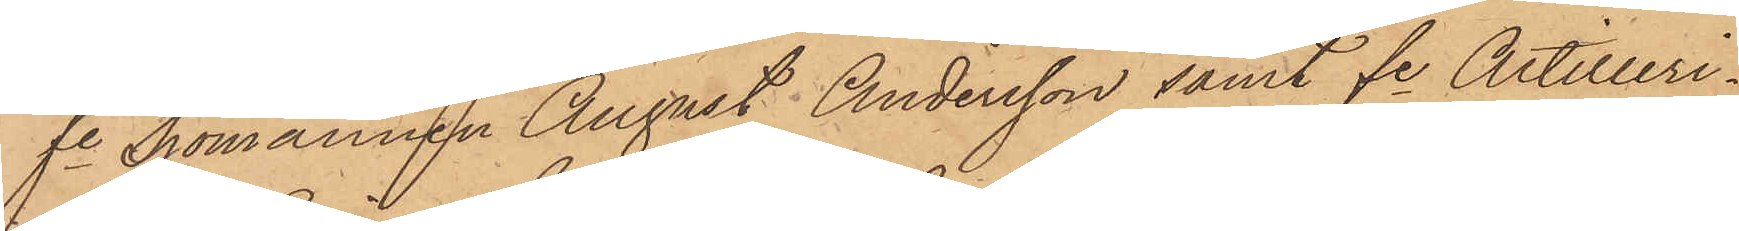fe Sjömannen August Andersson samt fe Artilleri¬
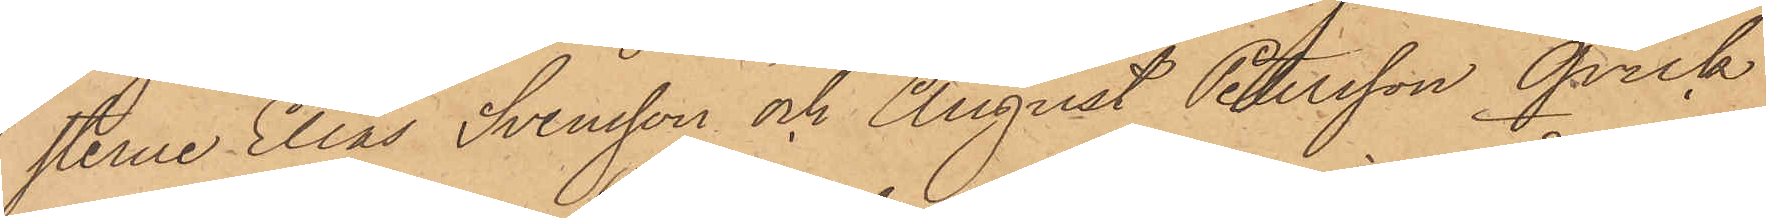sterne Elias Svensson och August Petersson Qvick
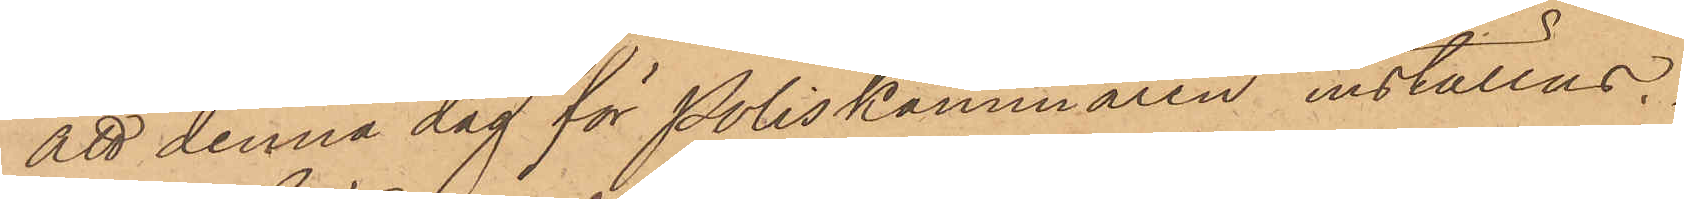att denna dag för Poliskammaren inställas.
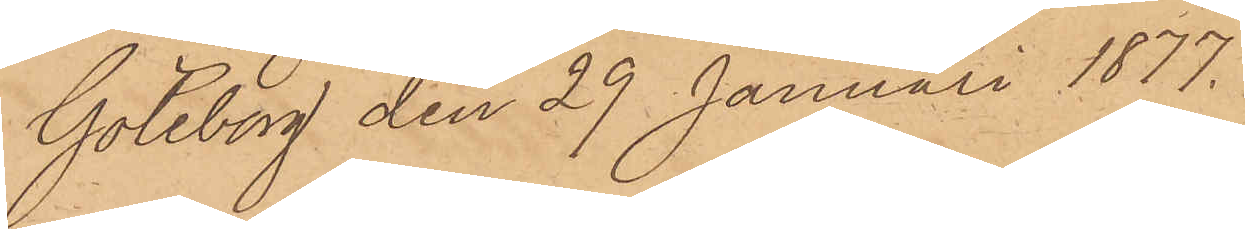Göteborg den 29 Januari 1877.
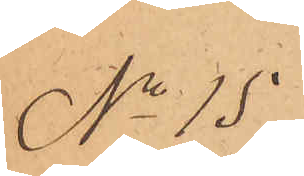No 15
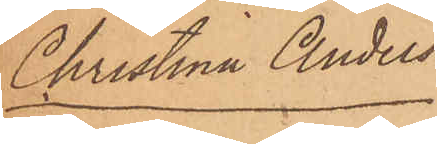Christina Anders¬
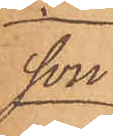son
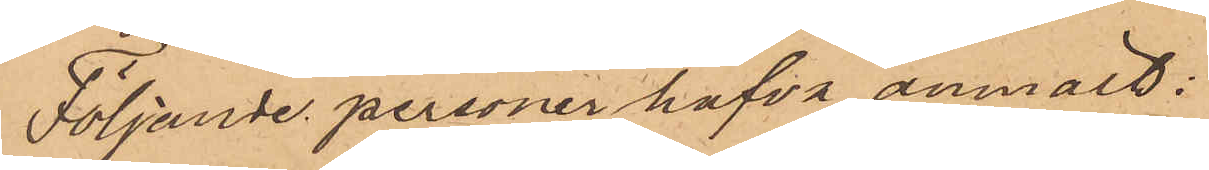Följande personer hafva anmält:
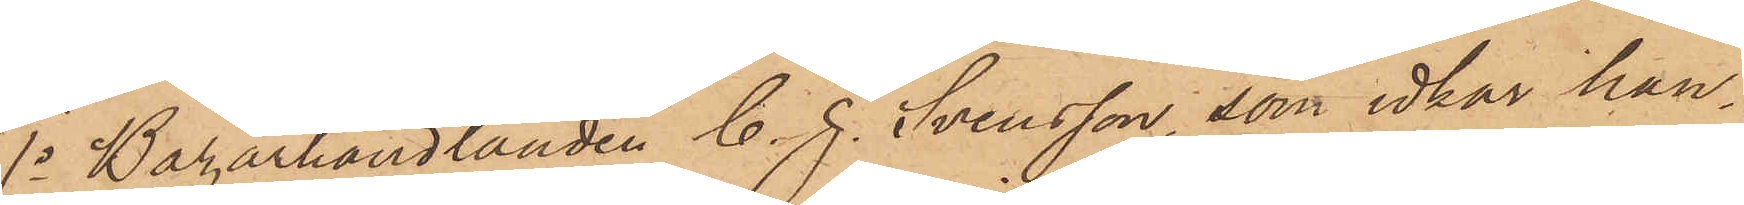1o Bazarhandlanden C. J. Svensson, som idkar han¬
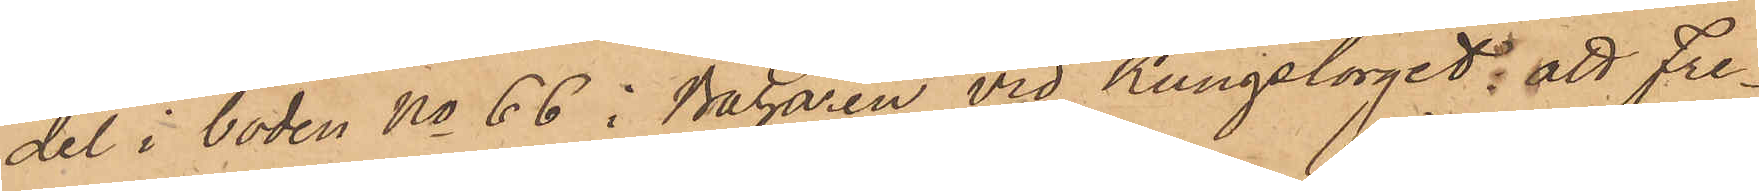del i boden No 66 i Bazaren vid Kungstorget; att Fre¬
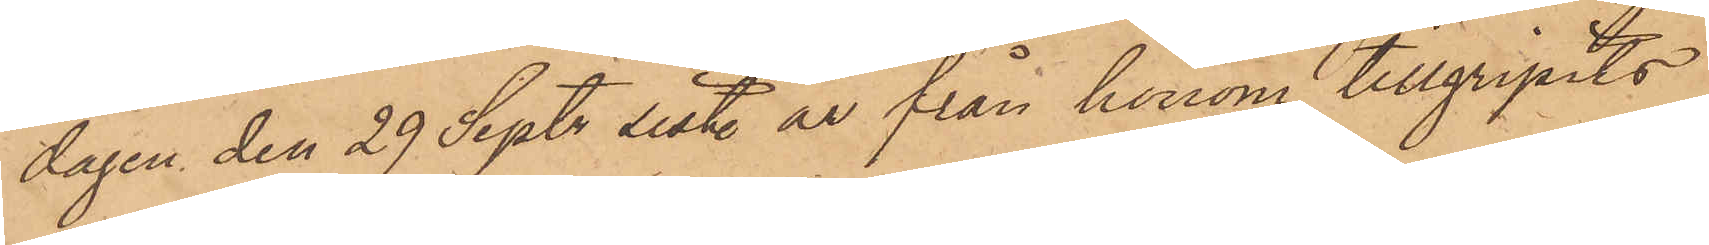dagen den 29 Sept. sistl. år från honom tillgripits
